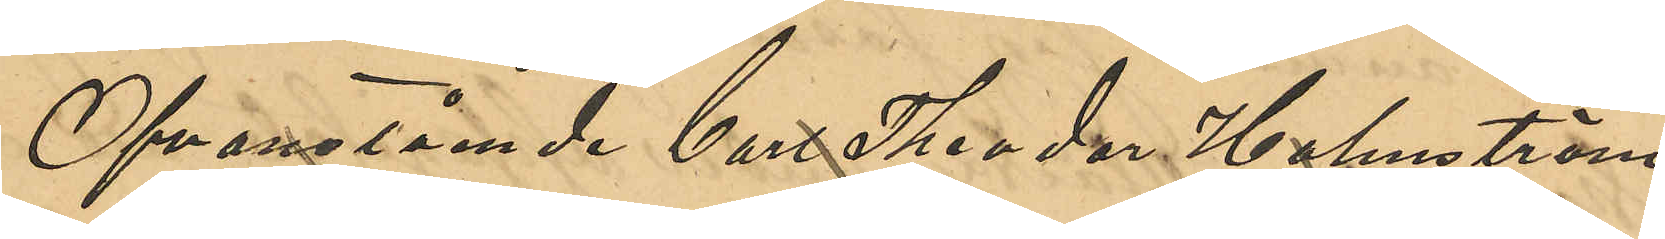Ofvannämnde Carl Theodor Holmström
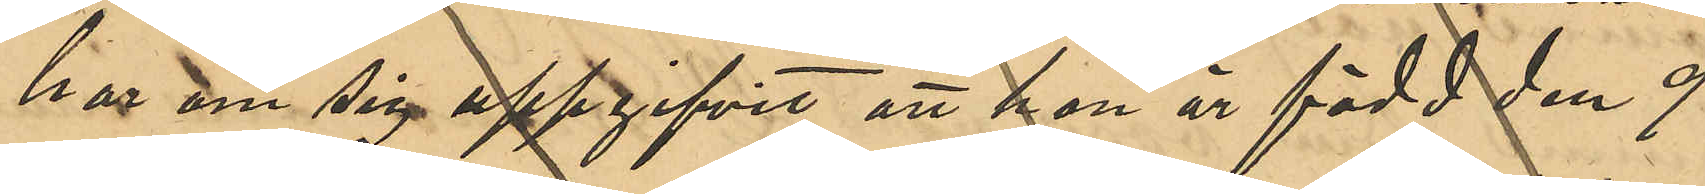har om sig uppgifvit att han är född den 9
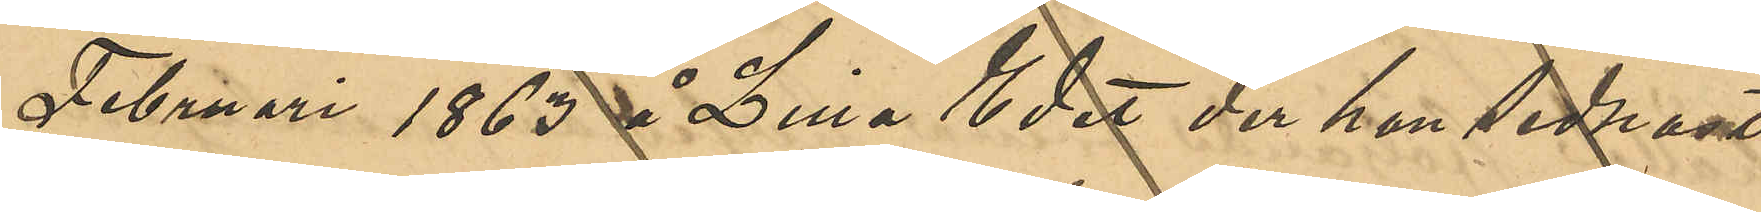Februari 1863 å Lilla Edet der han sednast
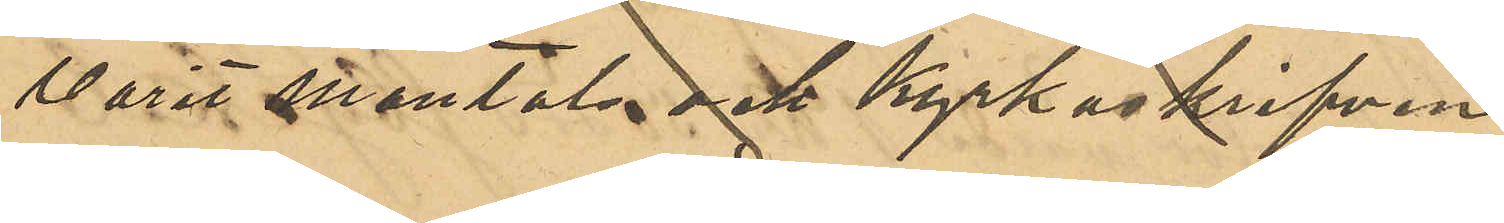varit mantals- och kyrkoskrifven.
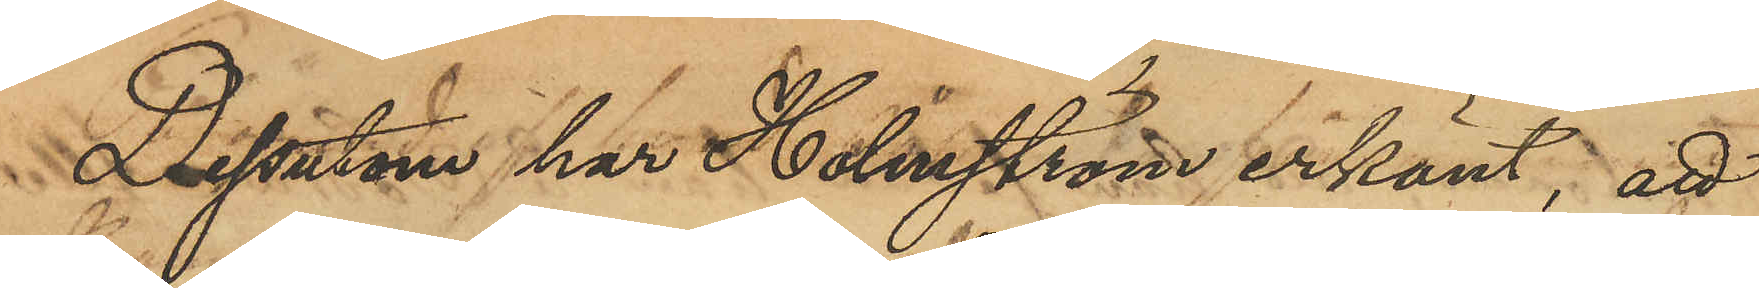Dessutom har Holmström erkänt, att
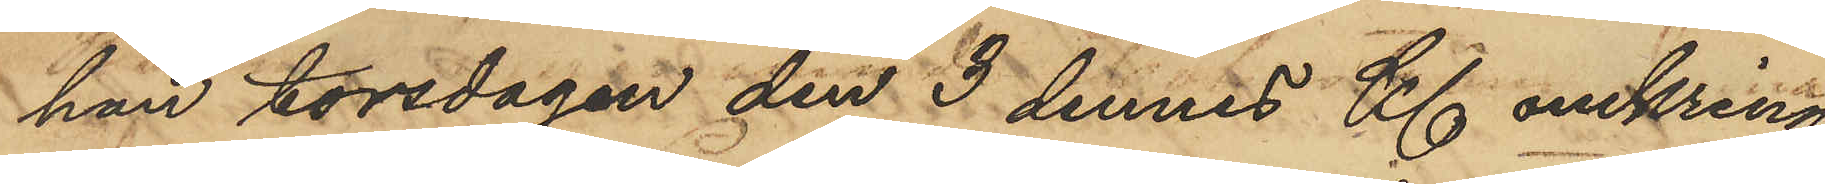han torsdagen den 3 dennes Kl omkring
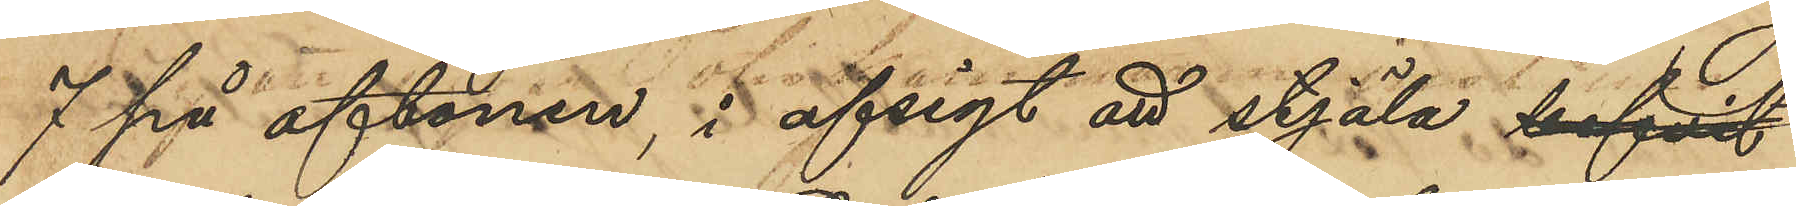7 på aftonen, i afsigt att stjäla befvit
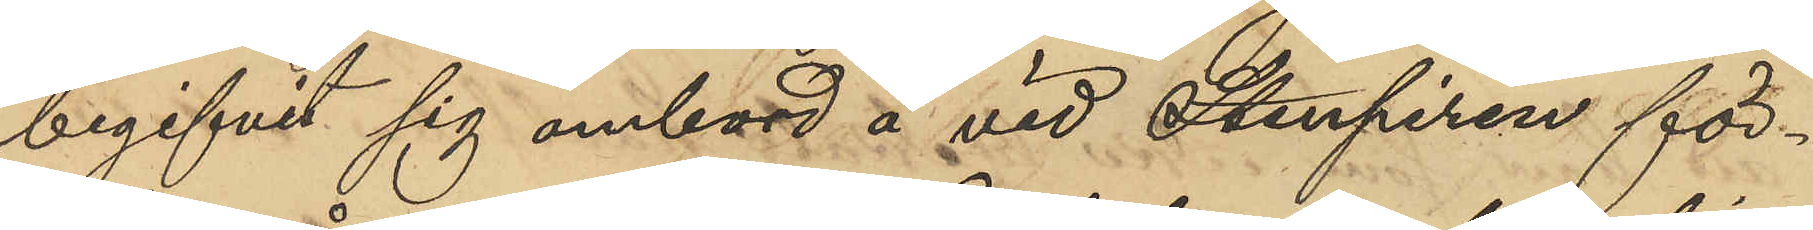begifvit sig ombord å vid Stenpiren för¬
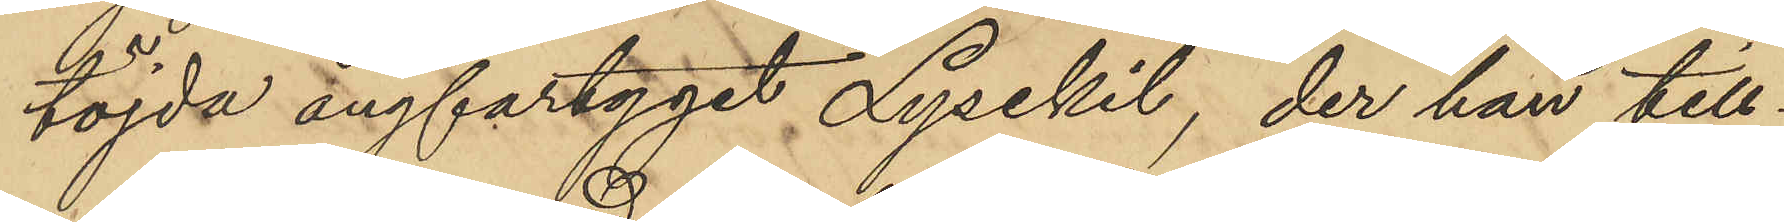töjda ångfartyget Lysekil, der han till¬
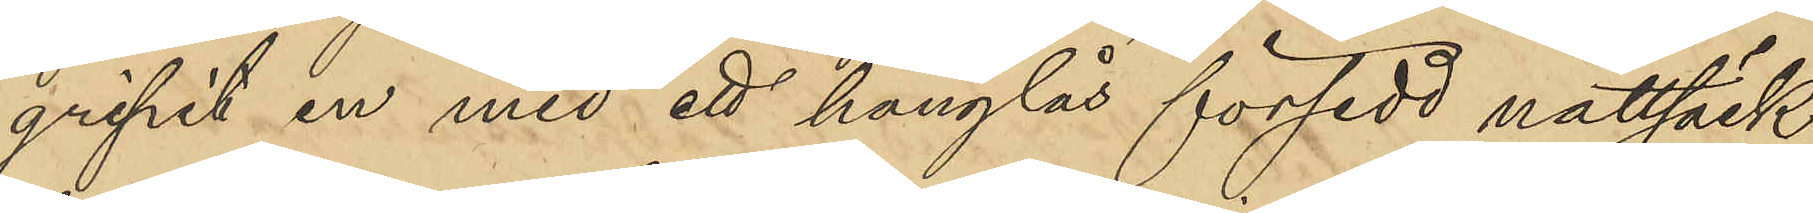gripit en med ett hänglås försedt nattsäck,
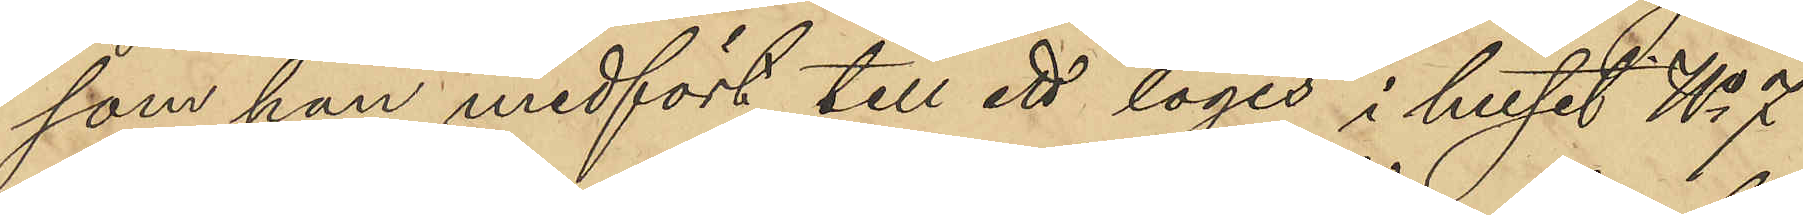som han medfört till ett logis i huset No 7
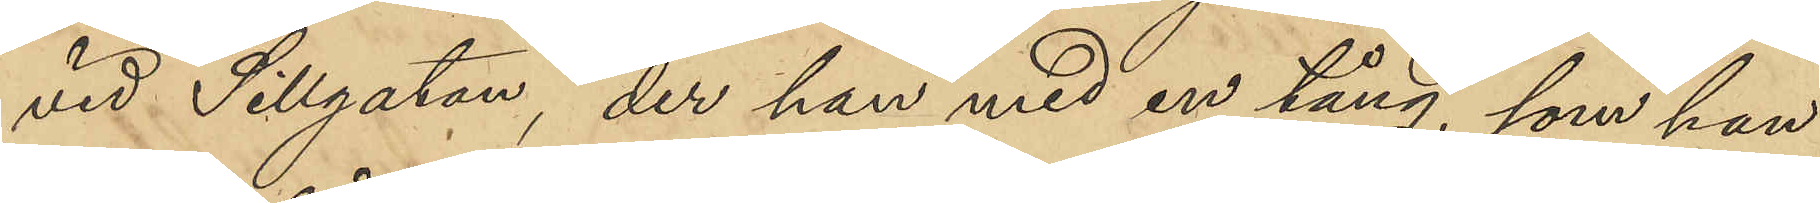vid Sillgatan, der han med en tång, som han
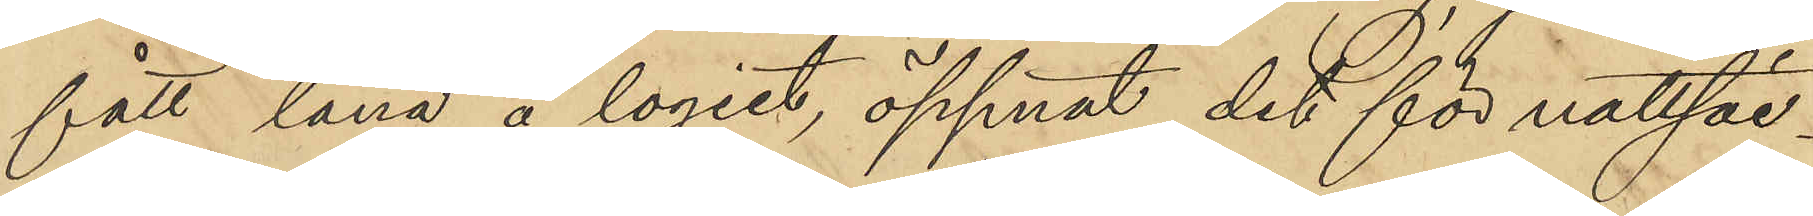fått låna å logiet, öppnat det för nattsäc¬
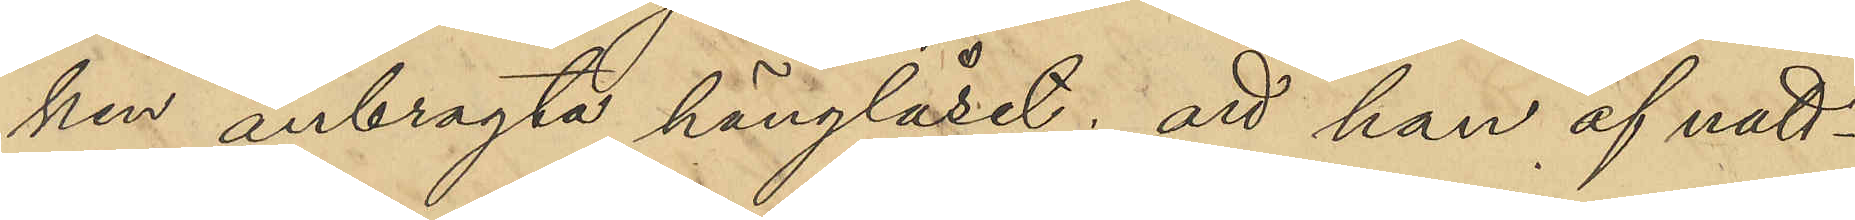ken anbragta hänglåset; att han af natt¬
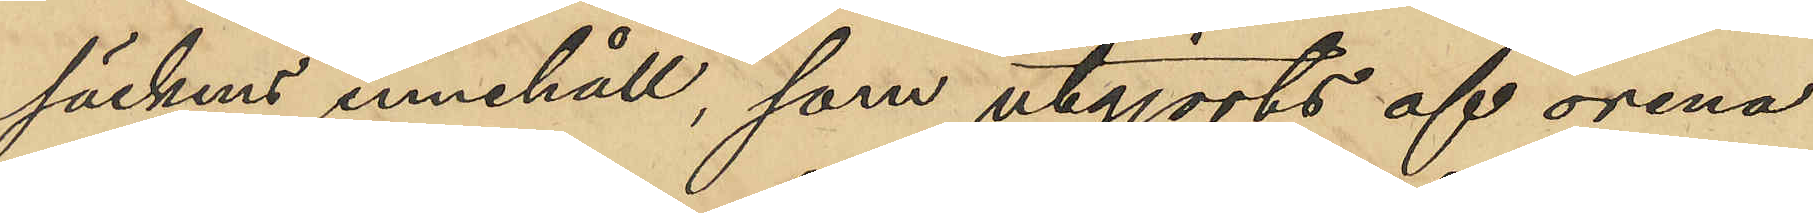säckens innehåll, som utgjorts af orena
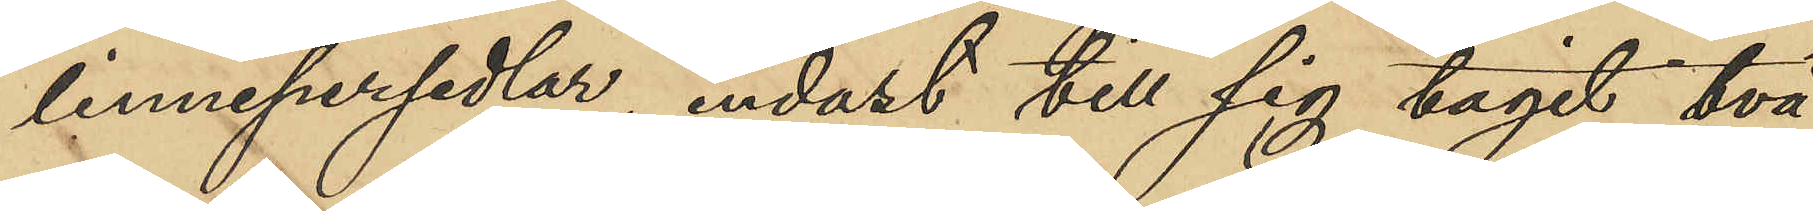linnepersedlar, endast till sig tagit två
